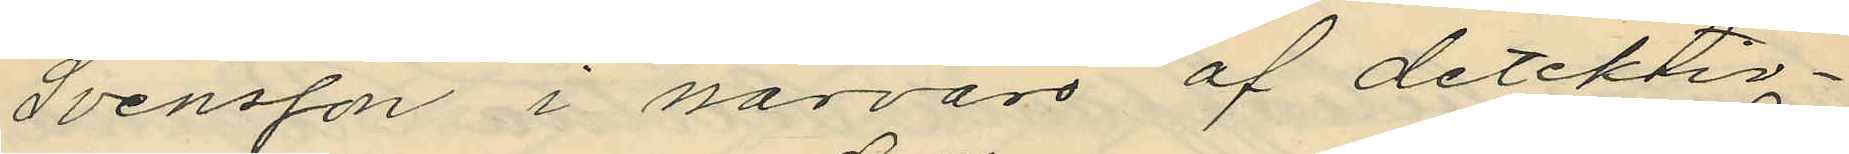Svensson i närvaro af detektiv¬
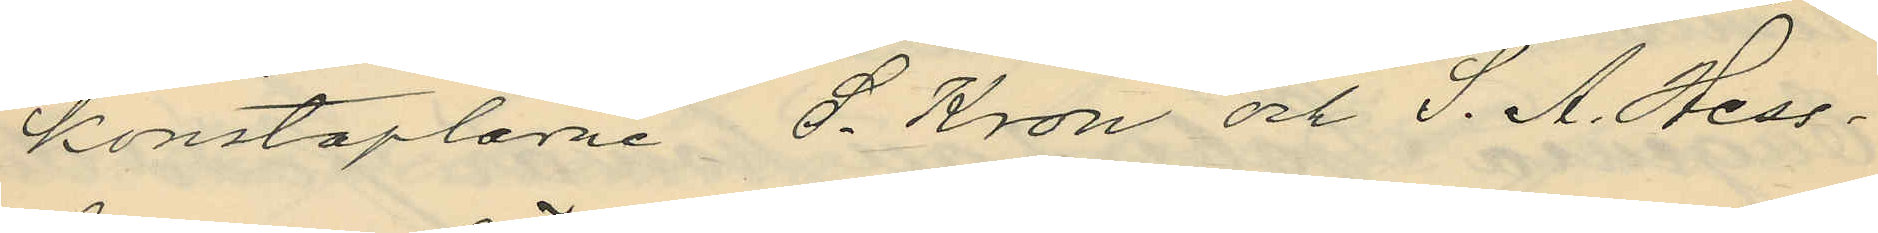konstaplarne S. Kron och S. A. Hess¬
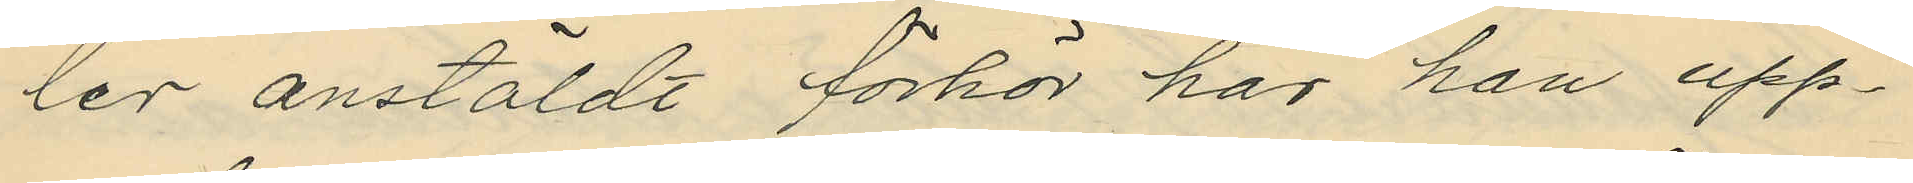ler anstäldt förhör har han upp¬
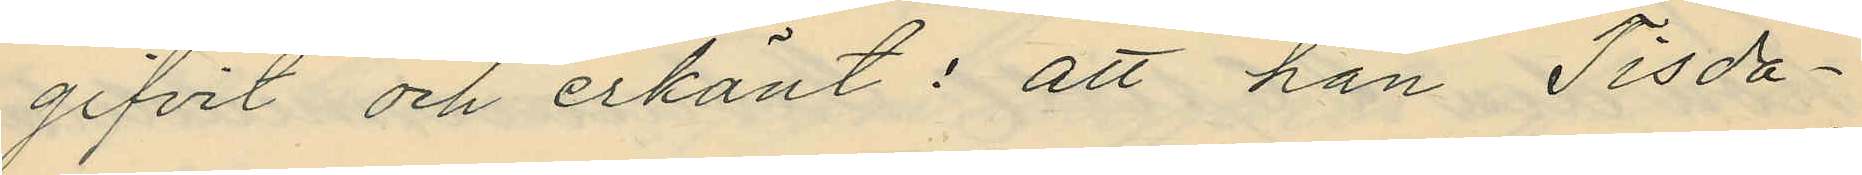gifvit och erkänt: att han Tisda¬
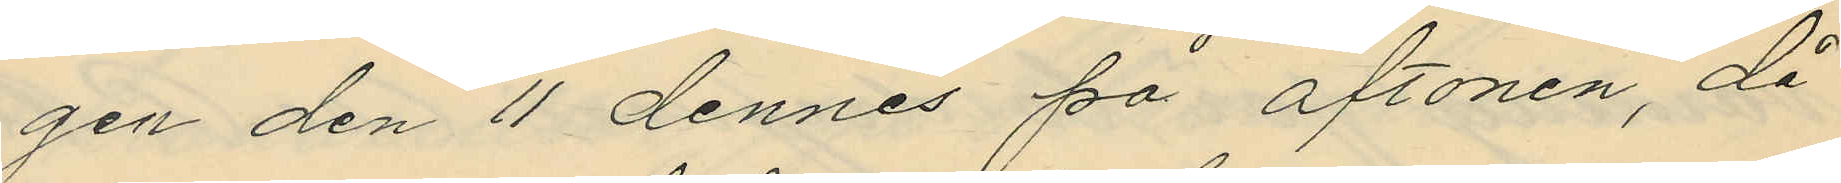gen den 11 dennes på aftonen, då
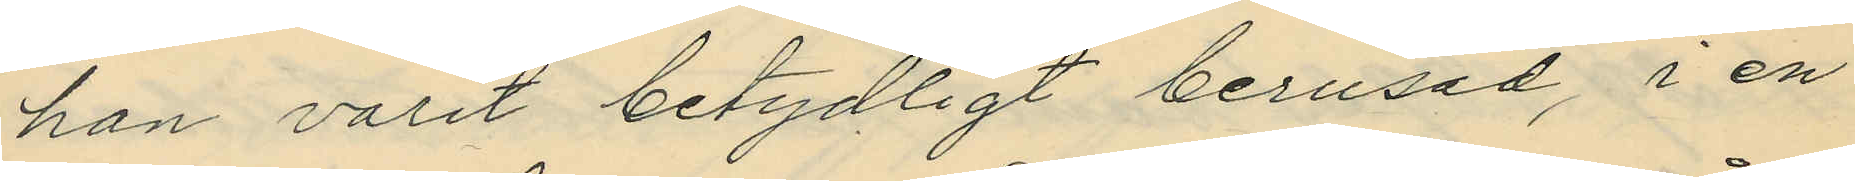han varit betydligt berusad, i en
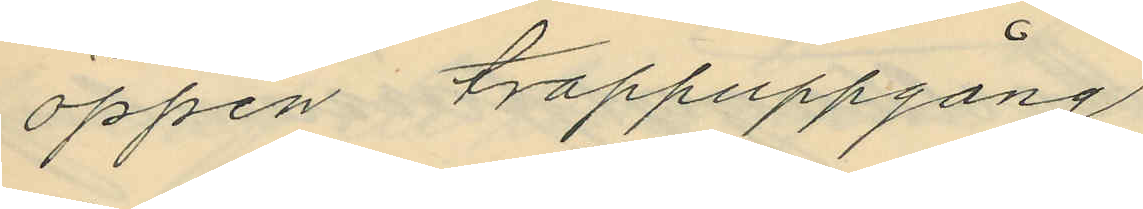öppen trappuppgång
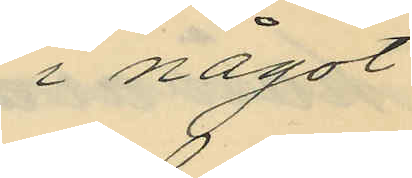i något
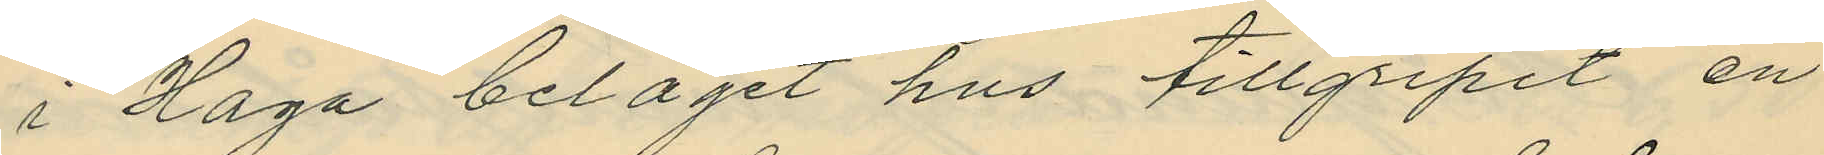i Haga beläget hus tillgripit en
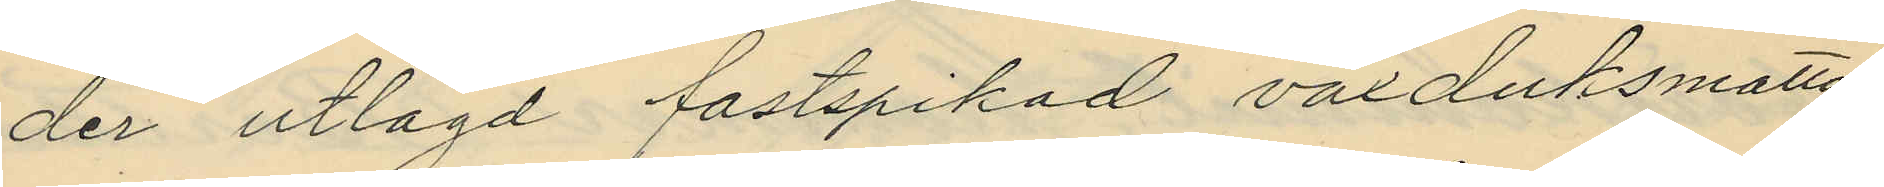der utlagd fastspikad vaxduksmatta
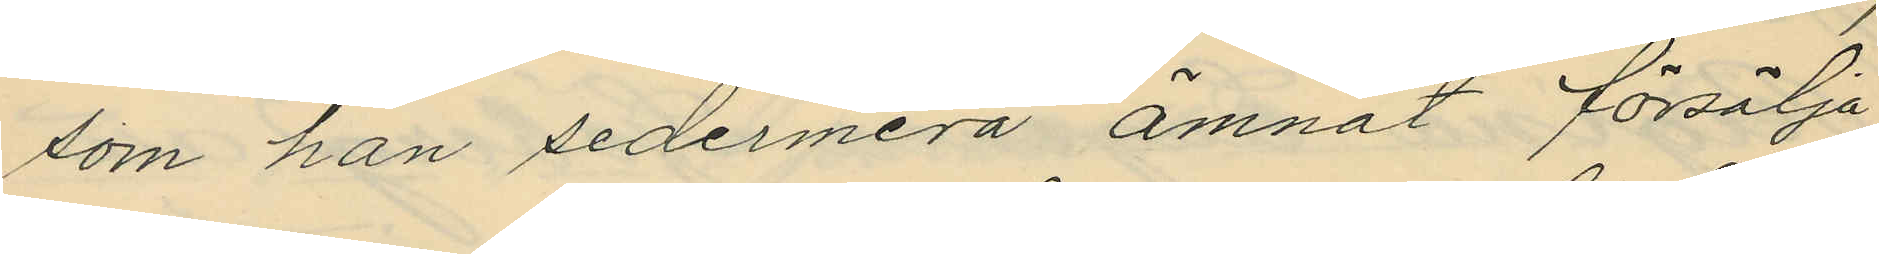som han sedermera ämnat försälja,
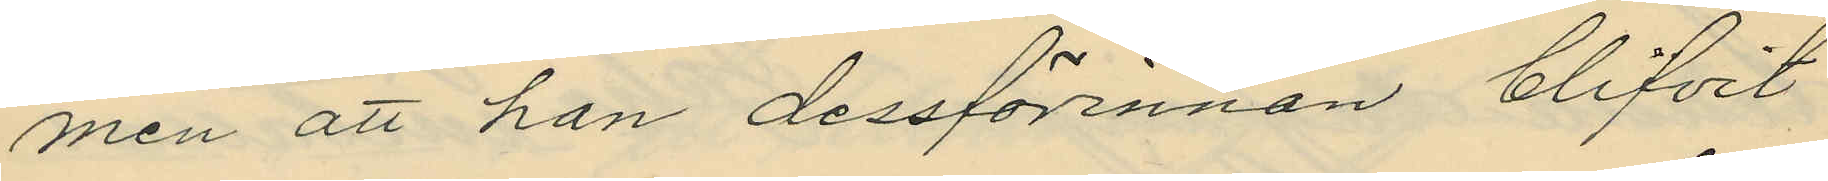men att han dessförinnan blifvit
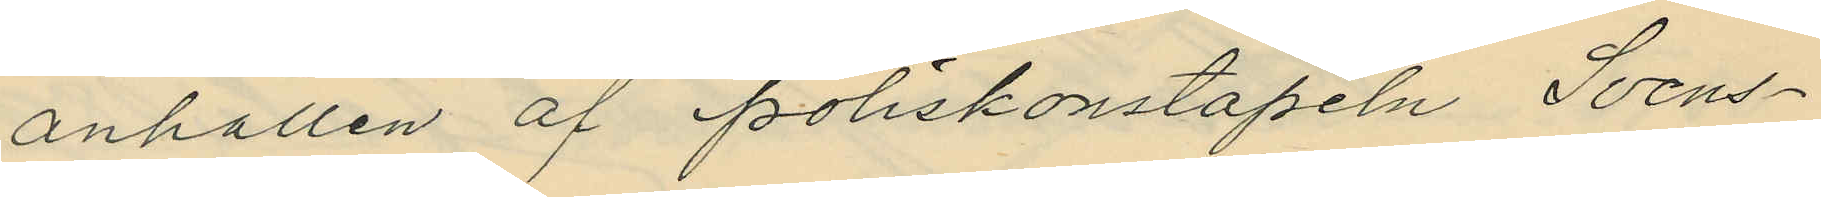anhållen af poliskonstapeln Svens¬
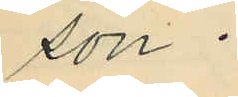son.
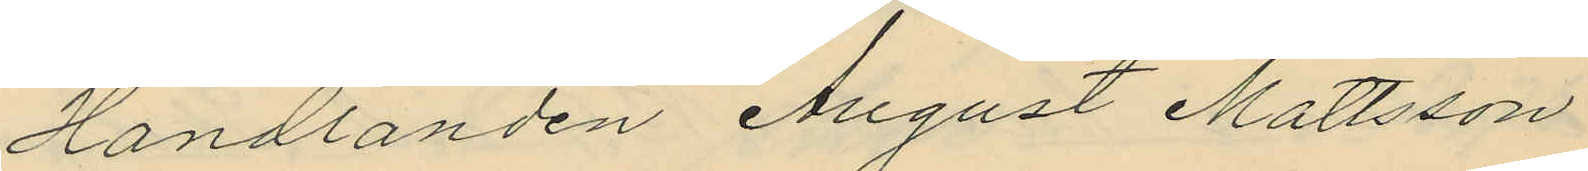Handlanden August Mattsson
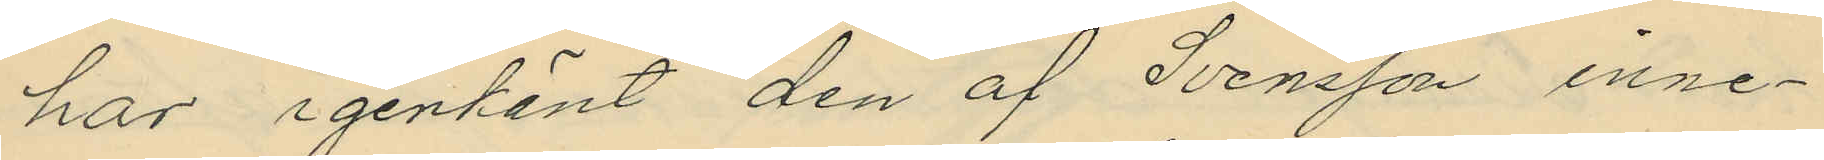har igenkänt den af Svensson inne¬
